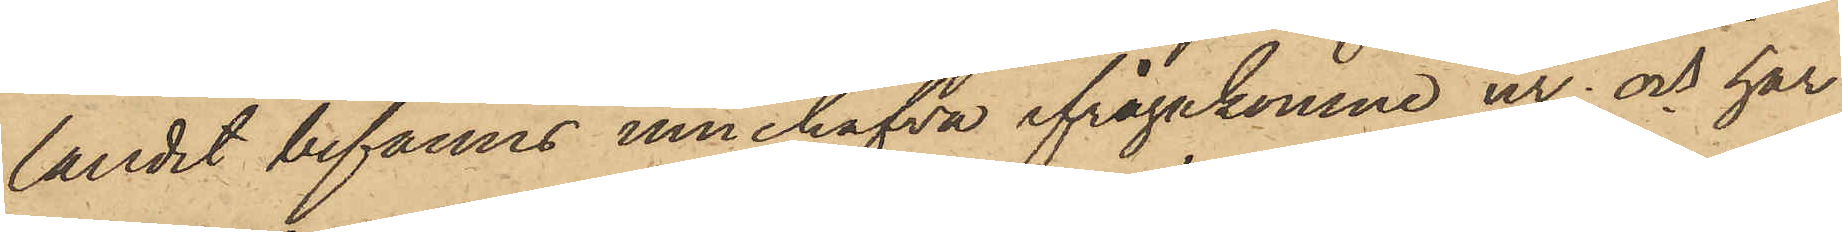landet befanns innehafva ifrågakomne ur; och har
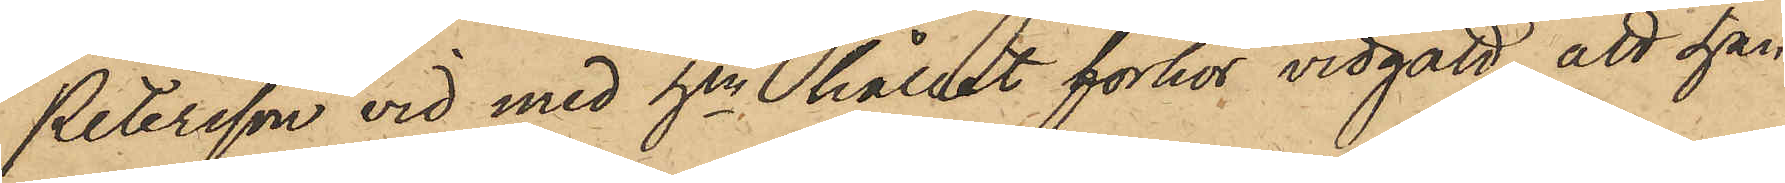Petersson vid med hen hållit förhör vidgått, att han
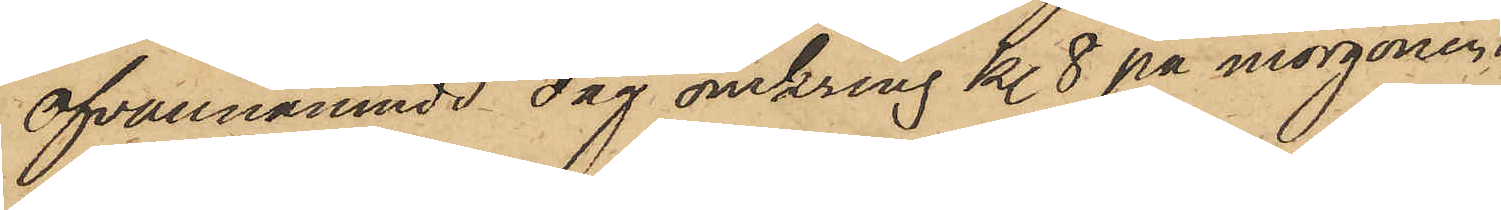ofvannämnde dag omkring kl. 8 på morgonen,
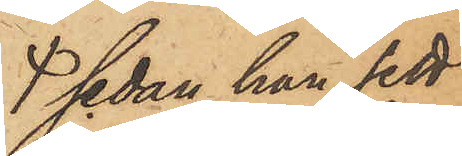sedan han sett
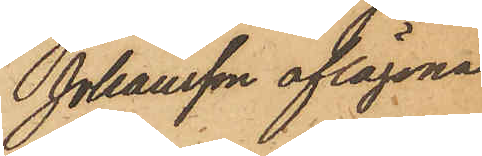Johansson aflägsna
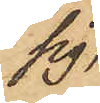sig,
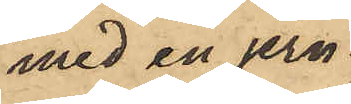med en jern¬
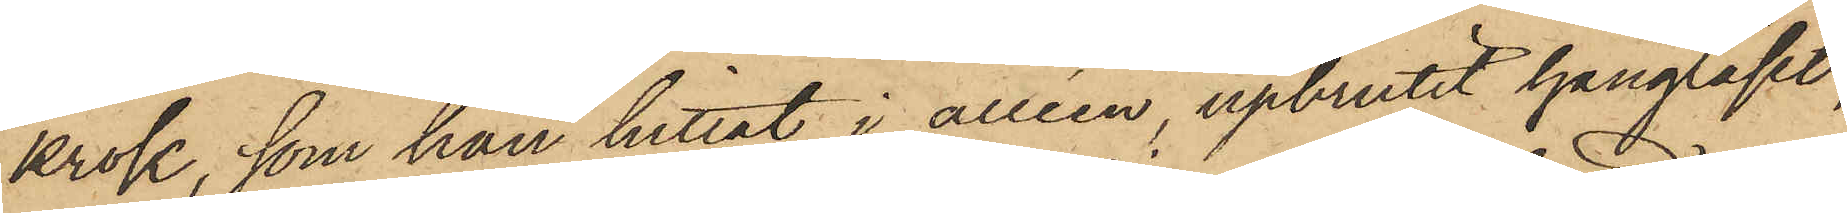krok, som han hittat i alléen, upbrutit hänglåset,
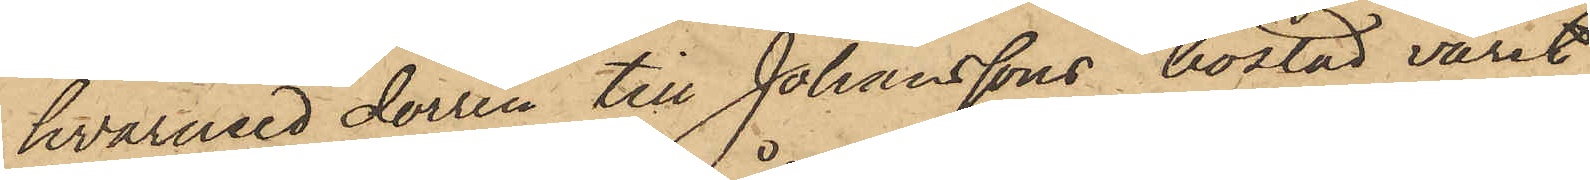hvarmed dörren till Johanssons bostad varit
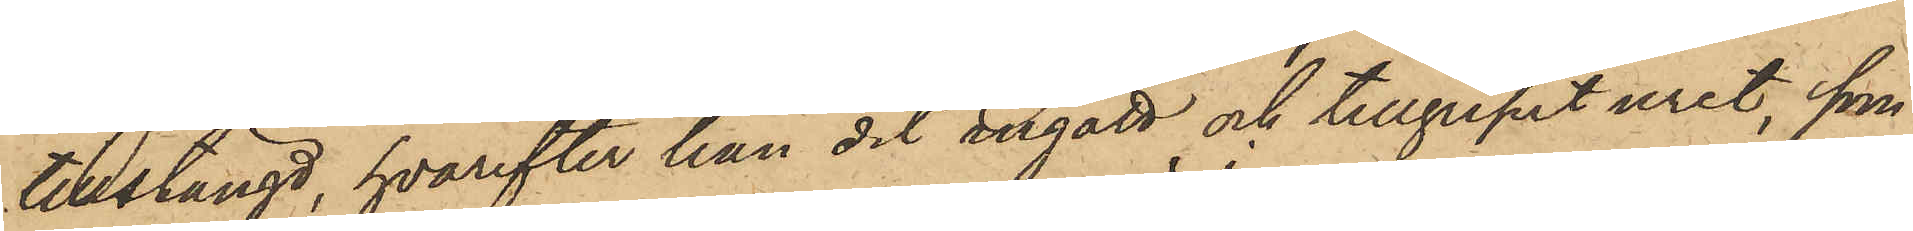tillstängd, hvarefter han dit ingått och tillgripit uret, som
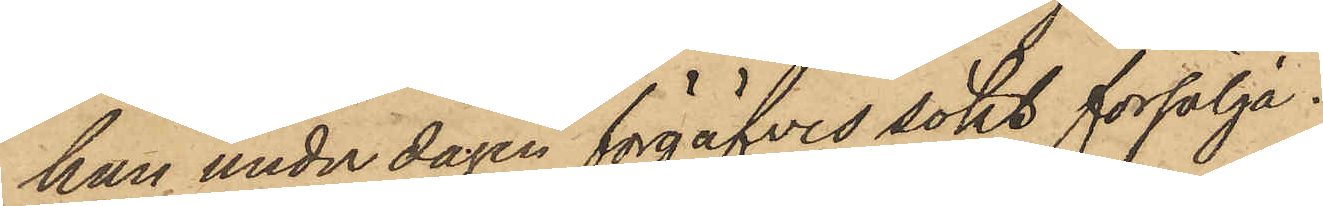han under dagen förgäfves sökt försälja.
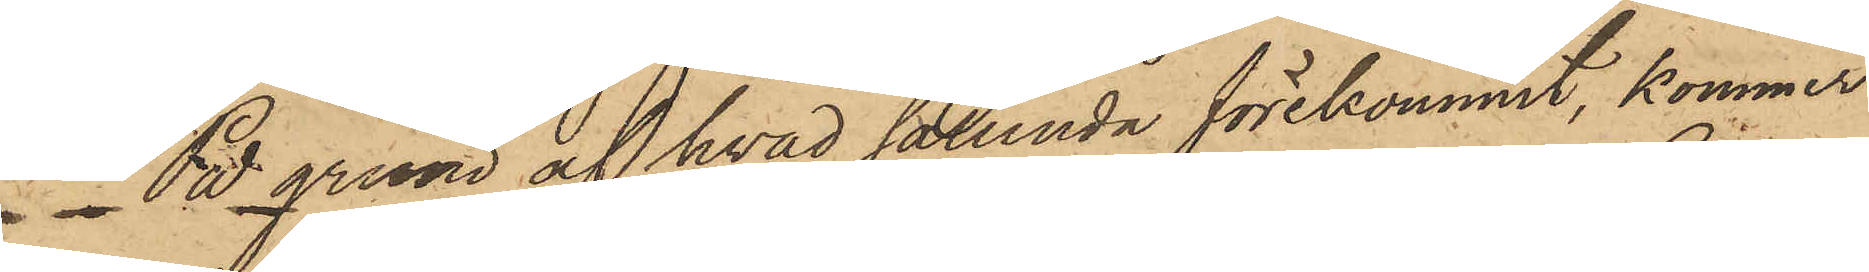På grund af hvad sålunda förekommit, kommer
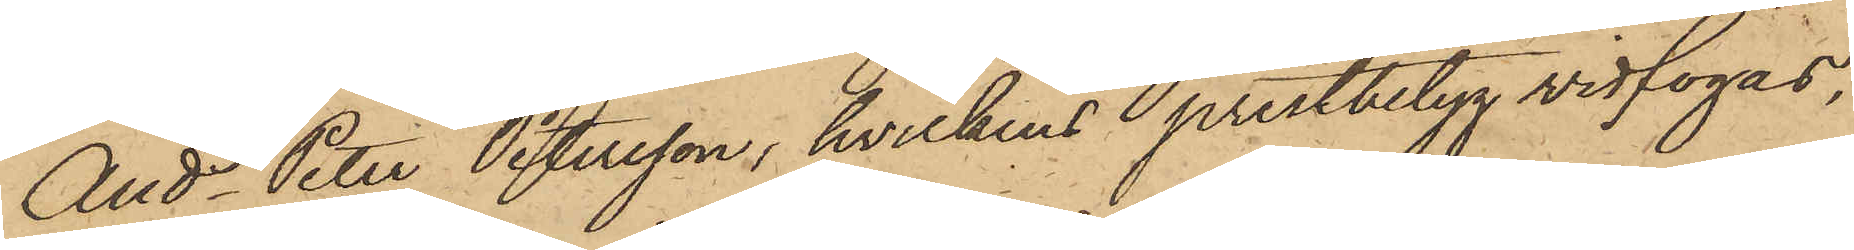Ands Peter Petersson, hvilkens prestbetyg vidfogas,
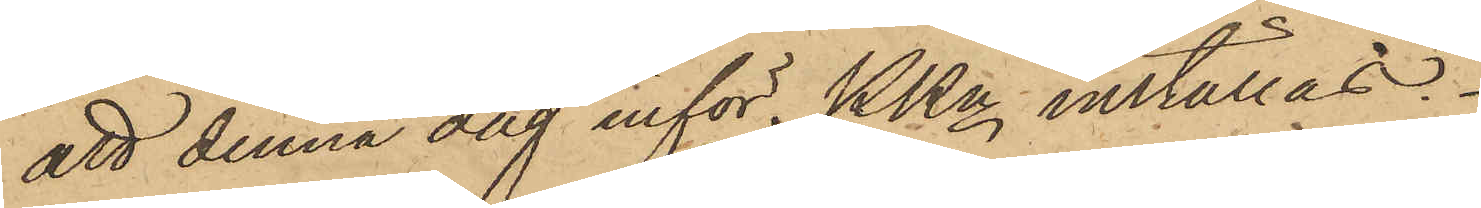att denna dag inför PKn inställas.
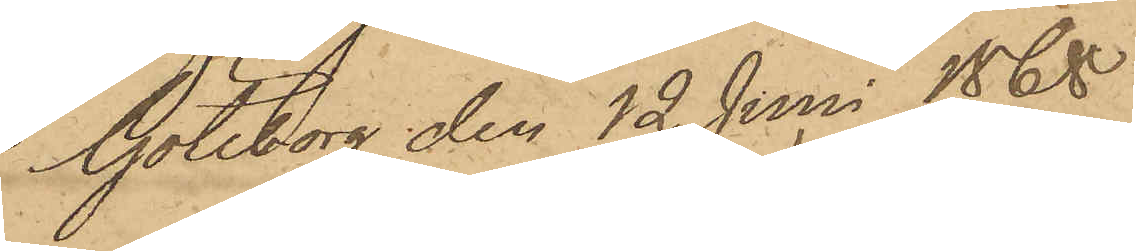Göteborg den 12 Juni 1868.
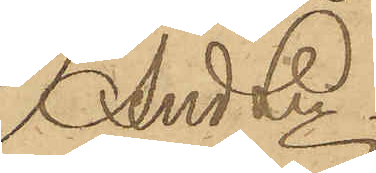And Ln.
